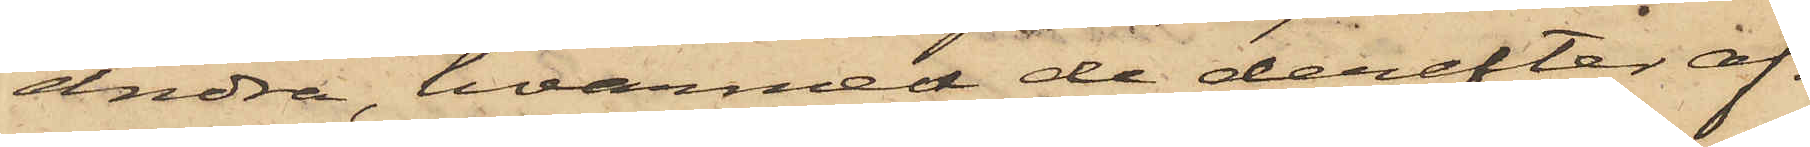andra, hvarmed de derefter af¬
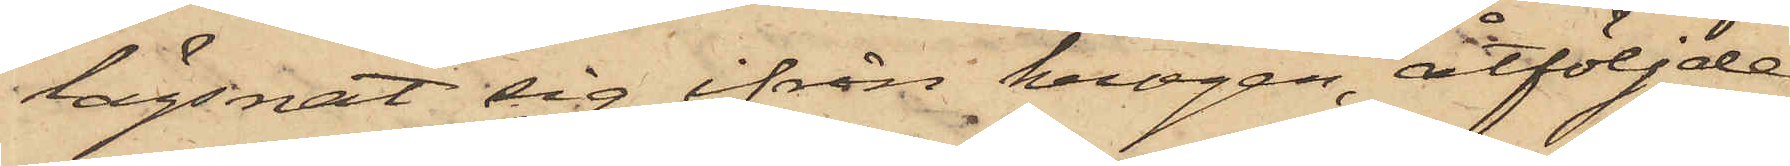lägsnat sig ifrån krogen, åtföljde
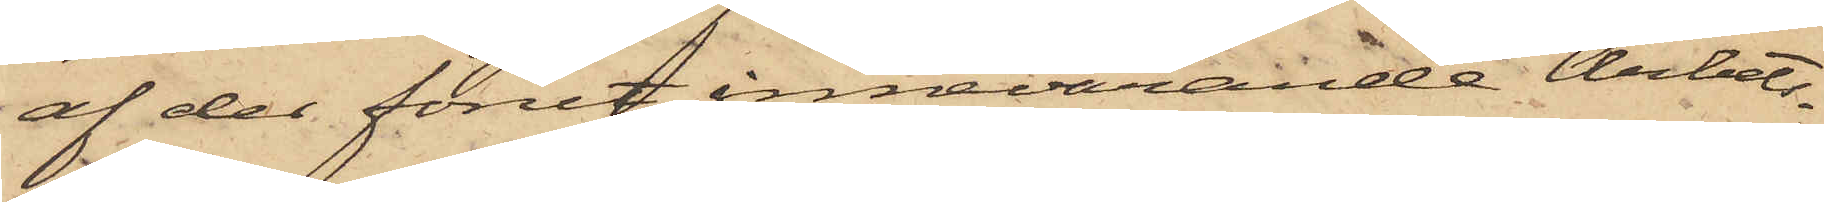af der förut innevarande Arbets¬
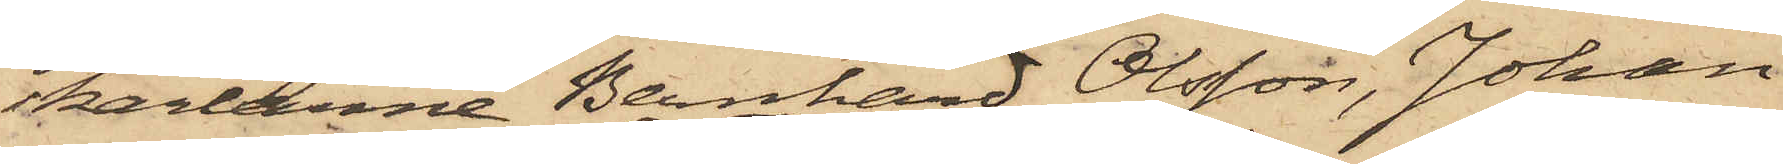karlarne Bernhard Olsson, Johan
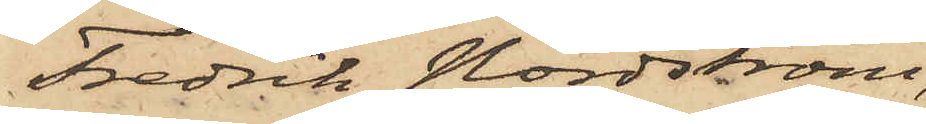Fredrik Nordström,
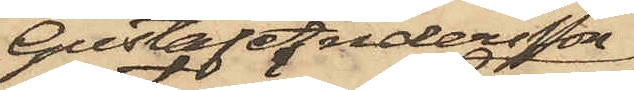Gustaf Andersson
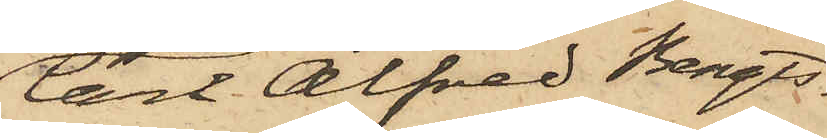Carl Alfred Bengts¬
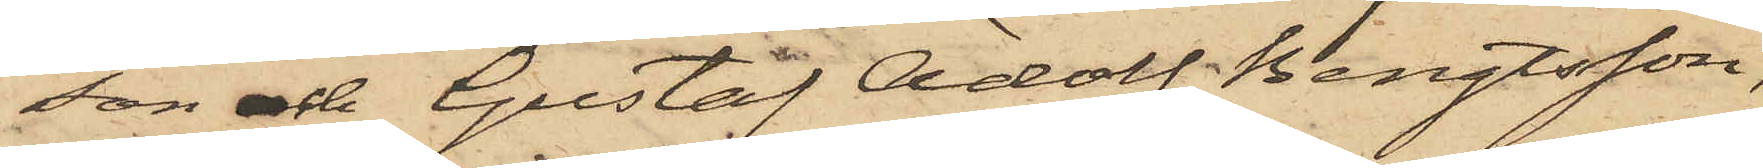son och Gustaf Adolf Bengtsson,
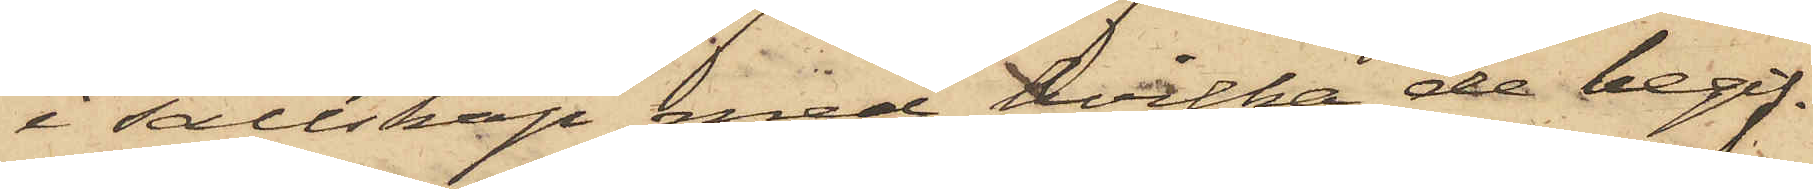i sällskap med hvilka de begif¬
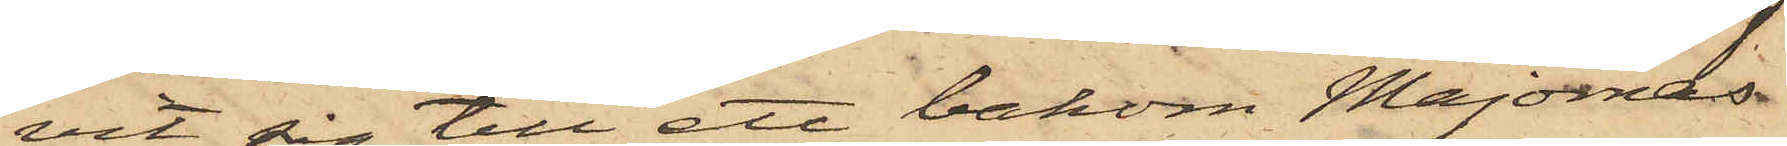vit sig till ett bakom Majornas
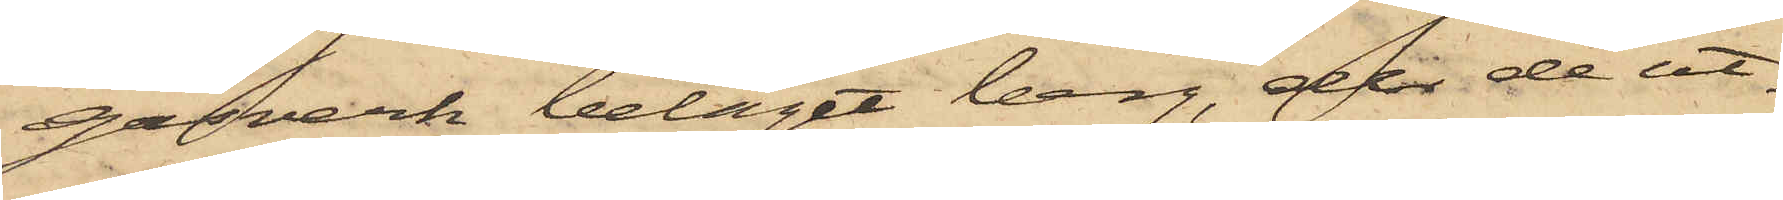gasverk beläget berg, der de ut¬
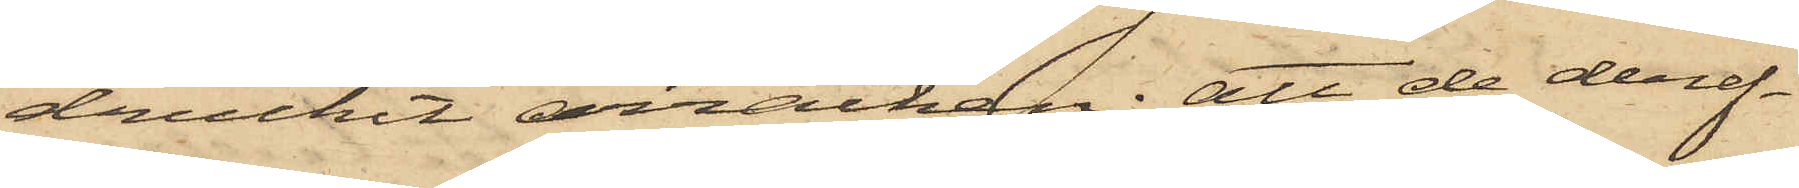druckit arracken; att de deref¬
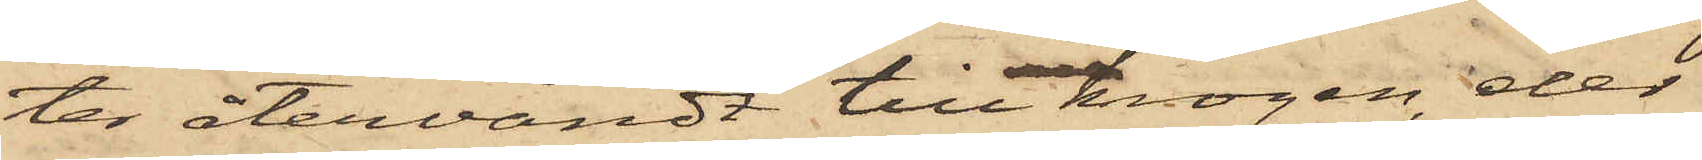ter återvändt till krogen, der
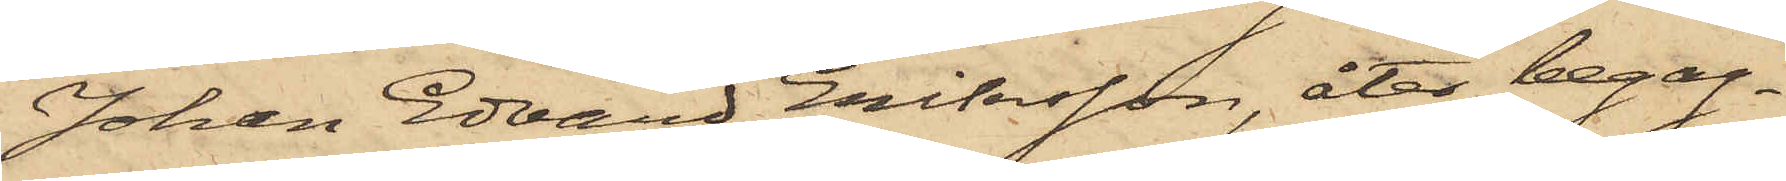Johan Edvard Eriksson, åter begag¬
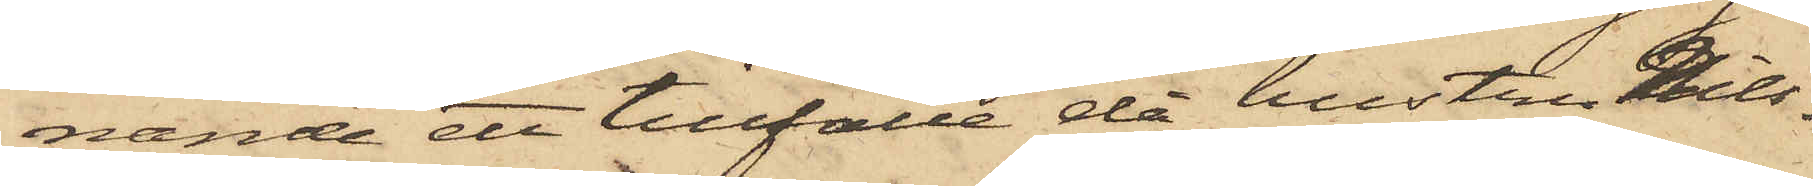nande ett tillfälle då hustru Nils¬
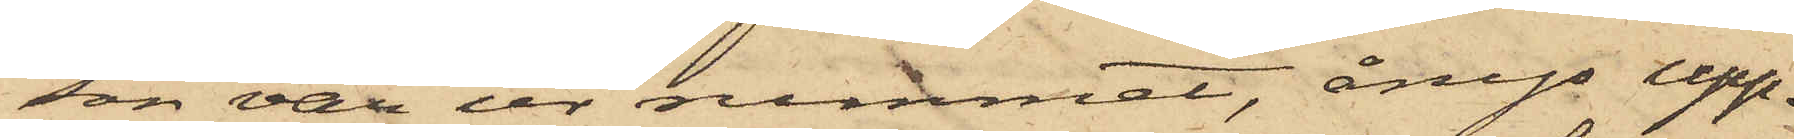son var ur rummet, ånyo upp¬
